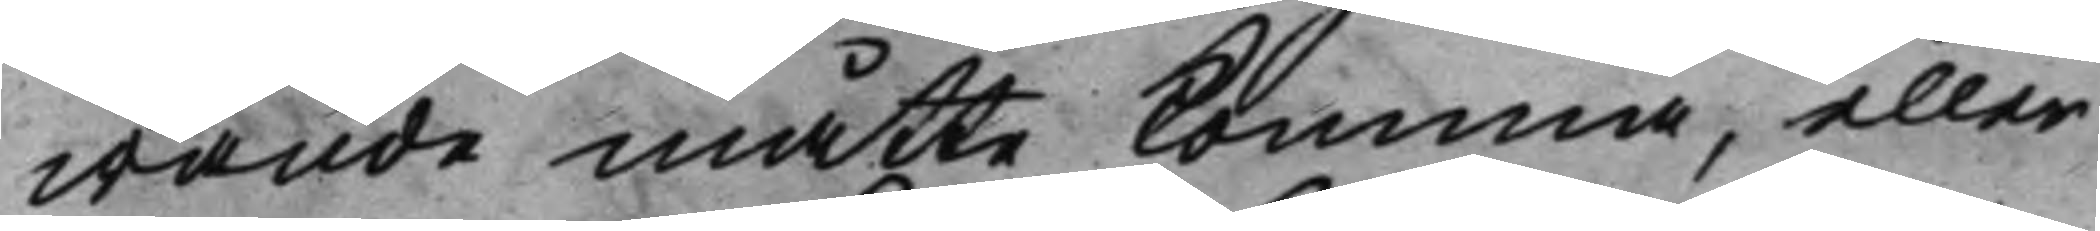wande måtte komma, eller
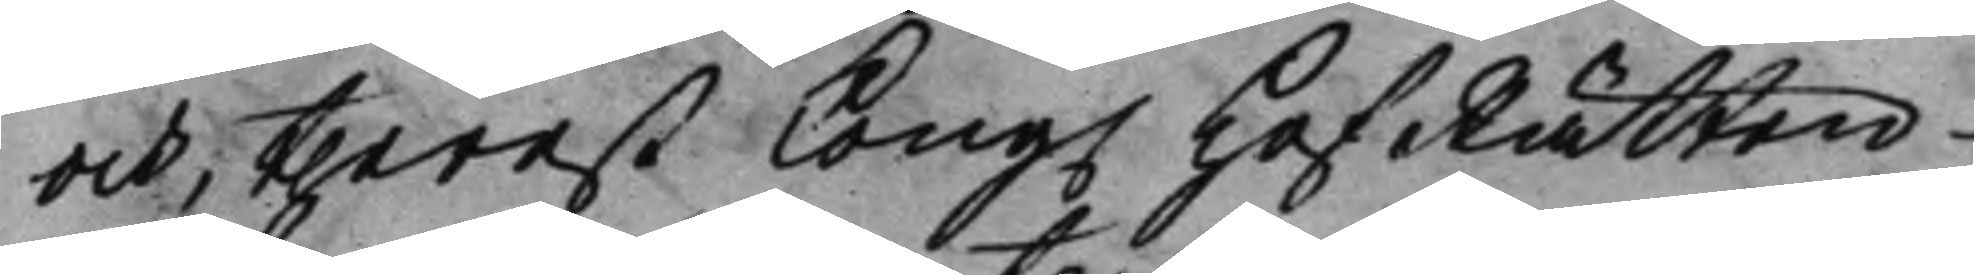och, therest Kong. HofRätten 
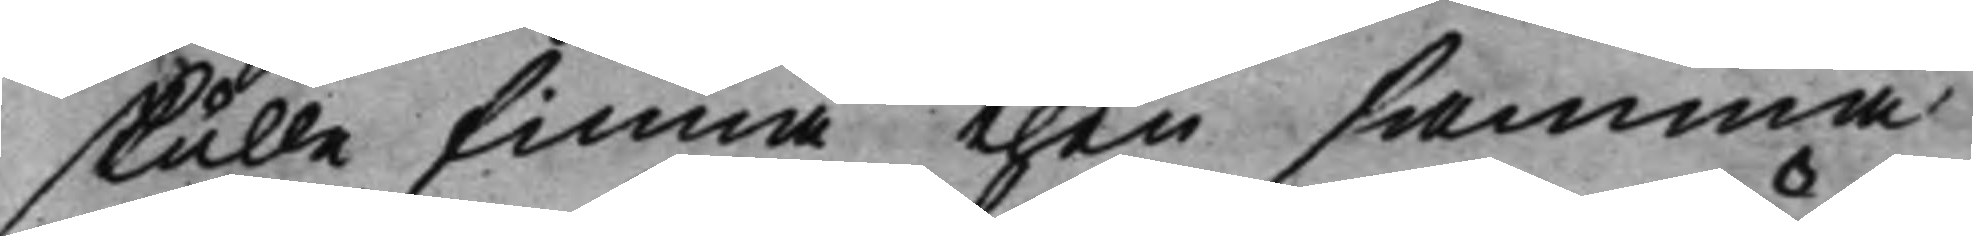skulle finna then samma
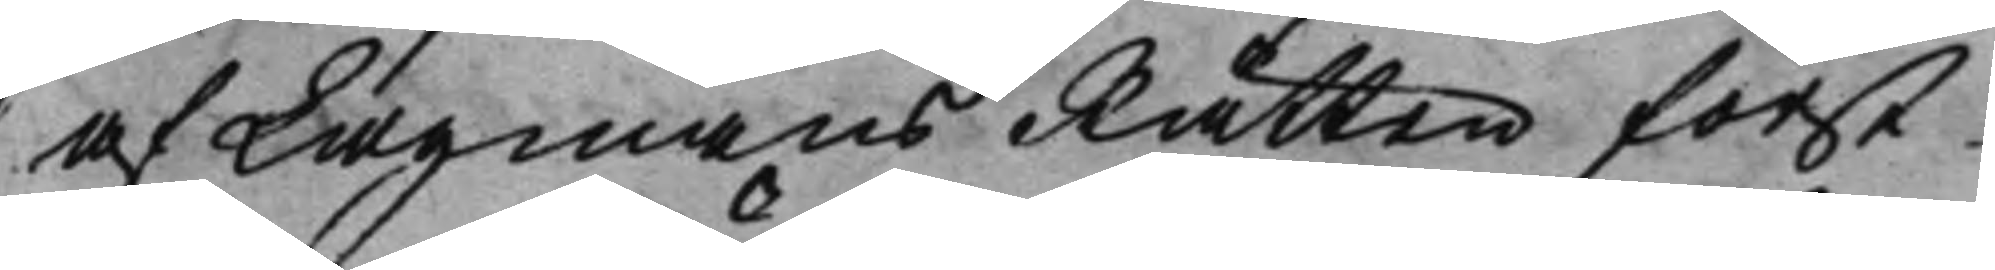af LagmansRätten först
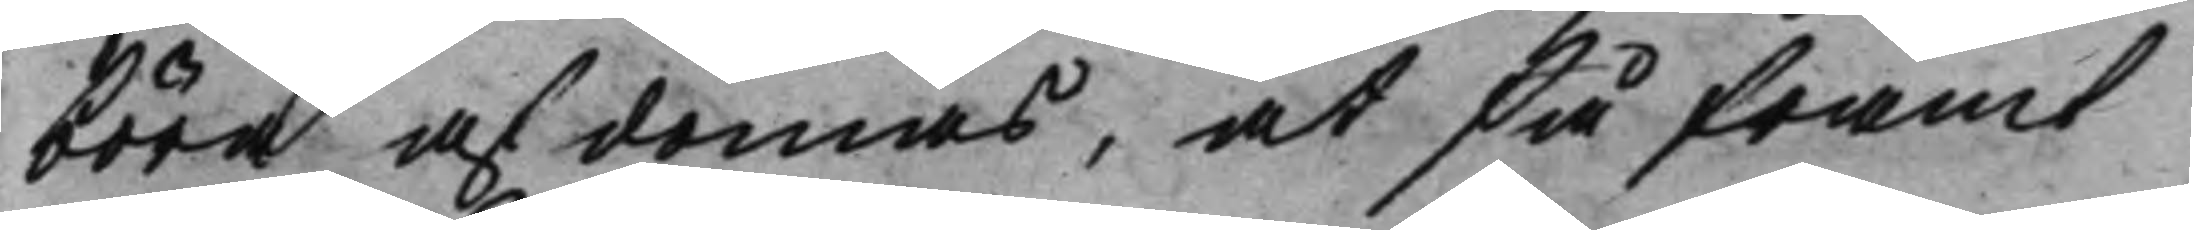böra afdömas, at så framt
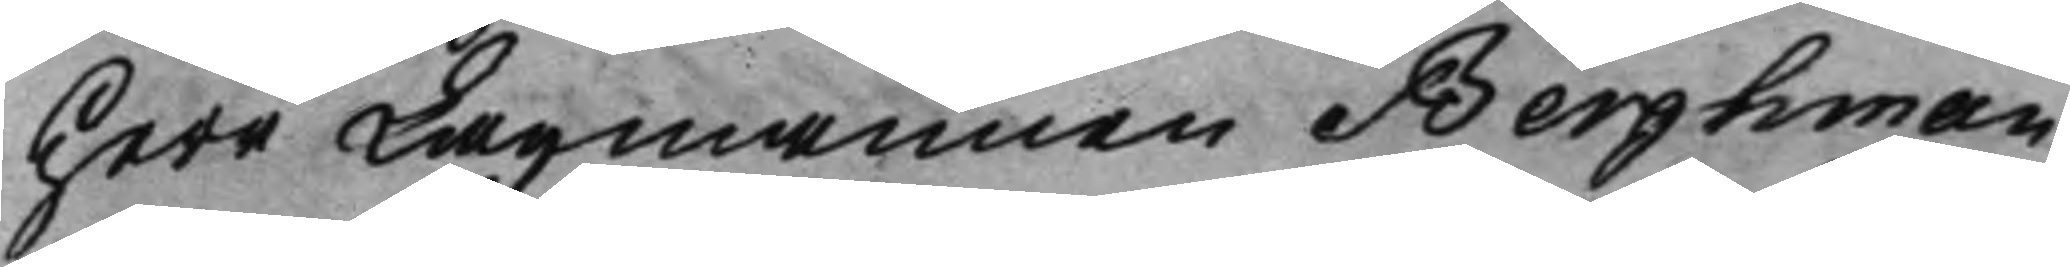Herr Lagmannen Berghman,
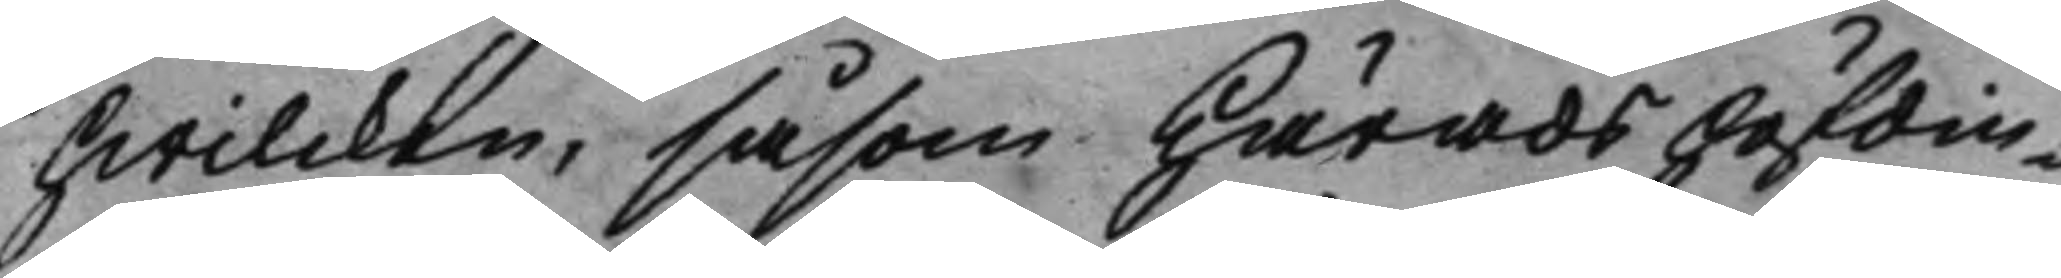hwilcken, såsom Häradshöfdin¬
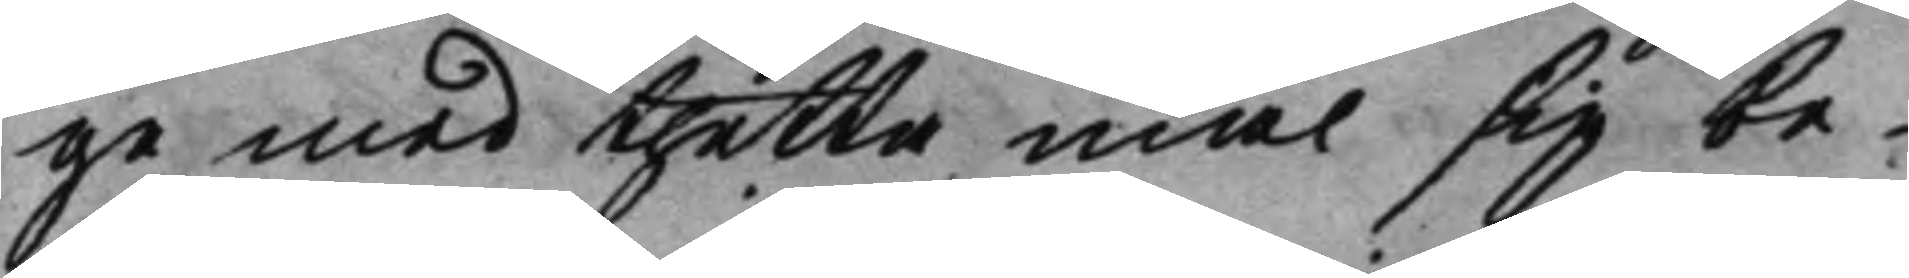ge med thetta mål sig be¬
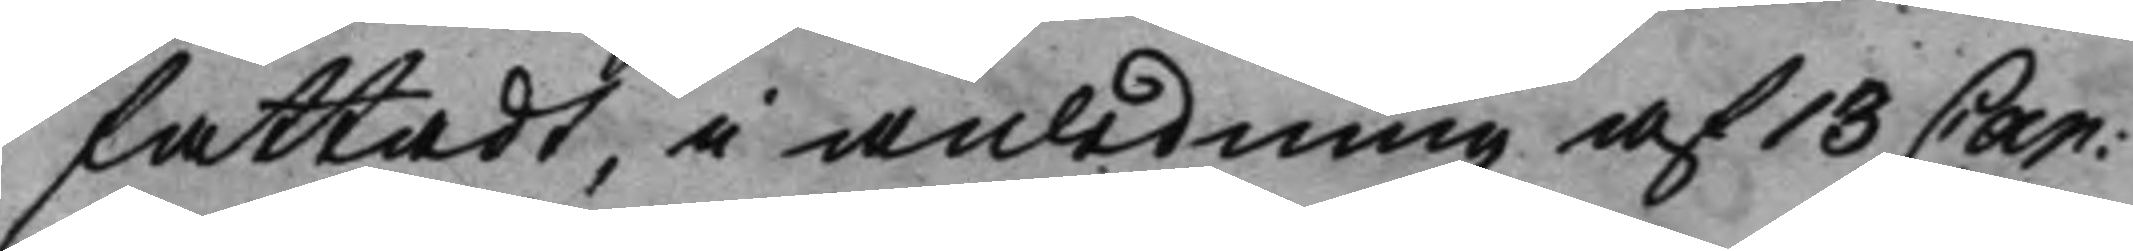fattadt, i anledning af 18 Cap: 
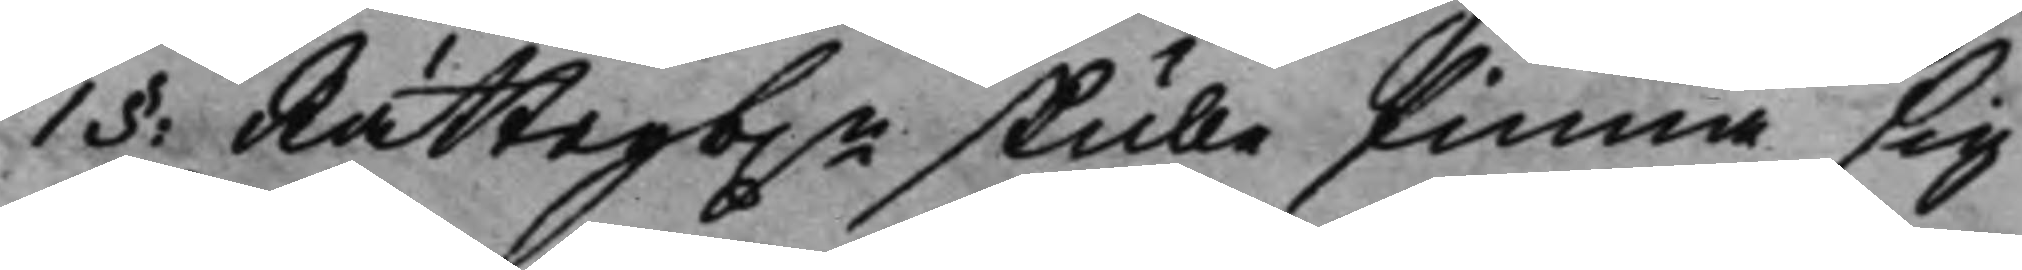1§: Rättegb.n skulle finna sig 
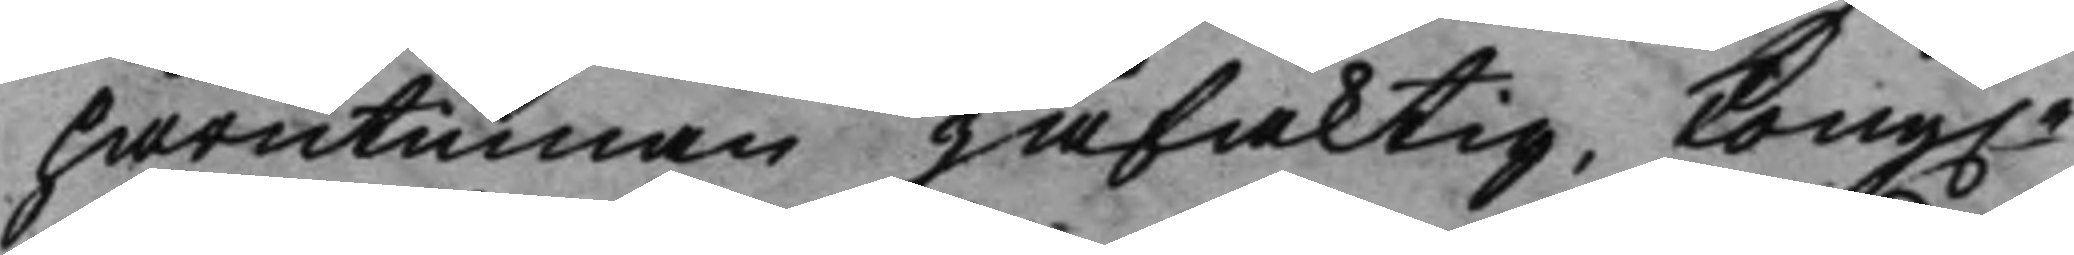härutinnan jäfaktig, Kong.e 
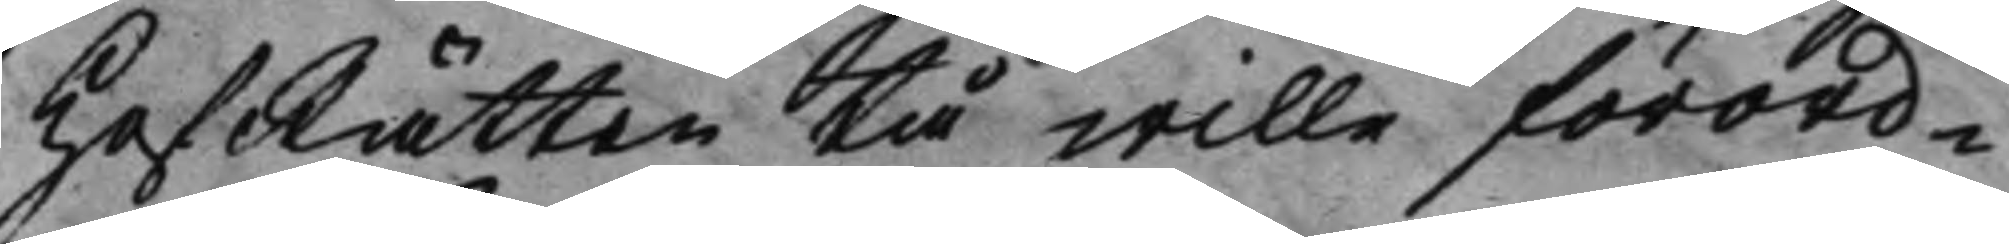HofRätten tå wille förord¬
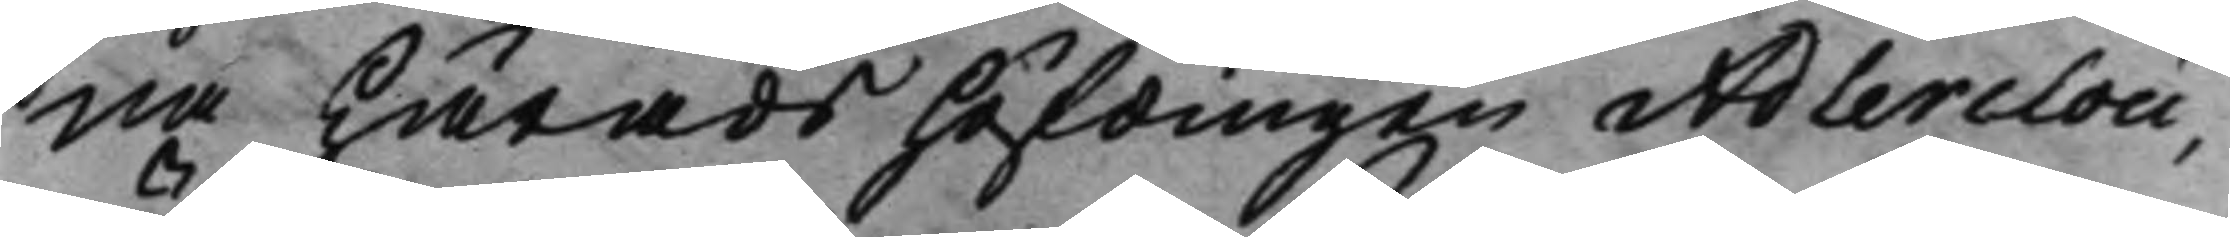na Häradshöfdingen Adlerclou,
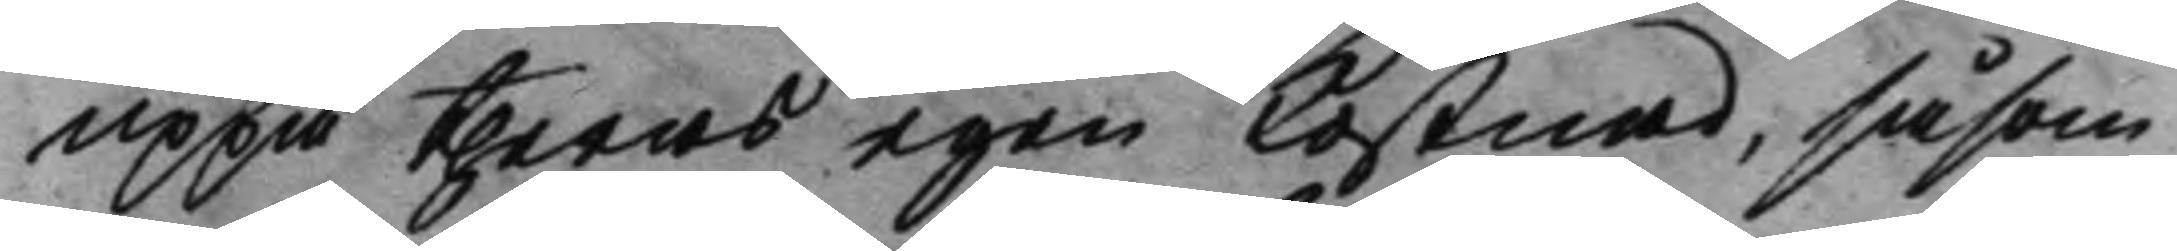uppå theras egen Kostnad, såsom
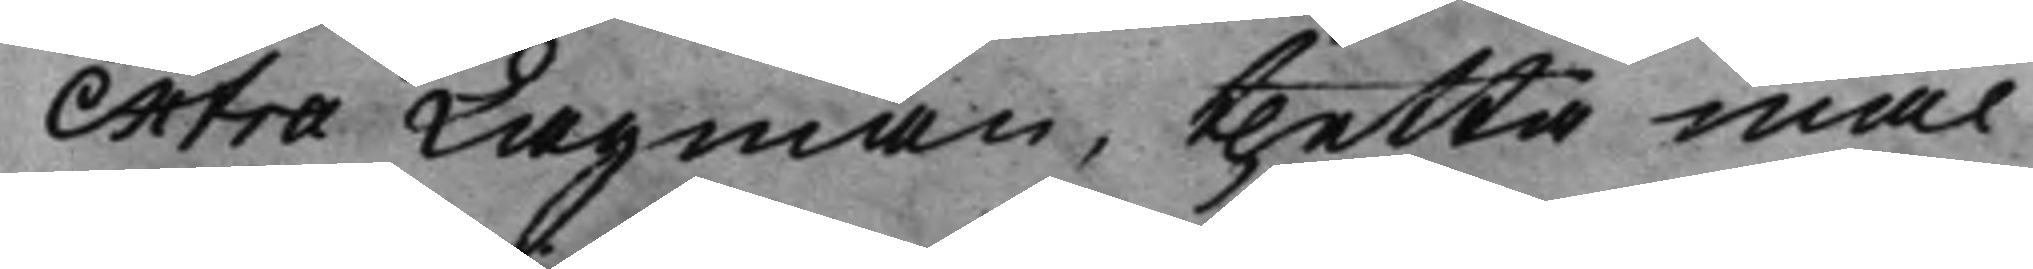Extra Lagman, thetta mål
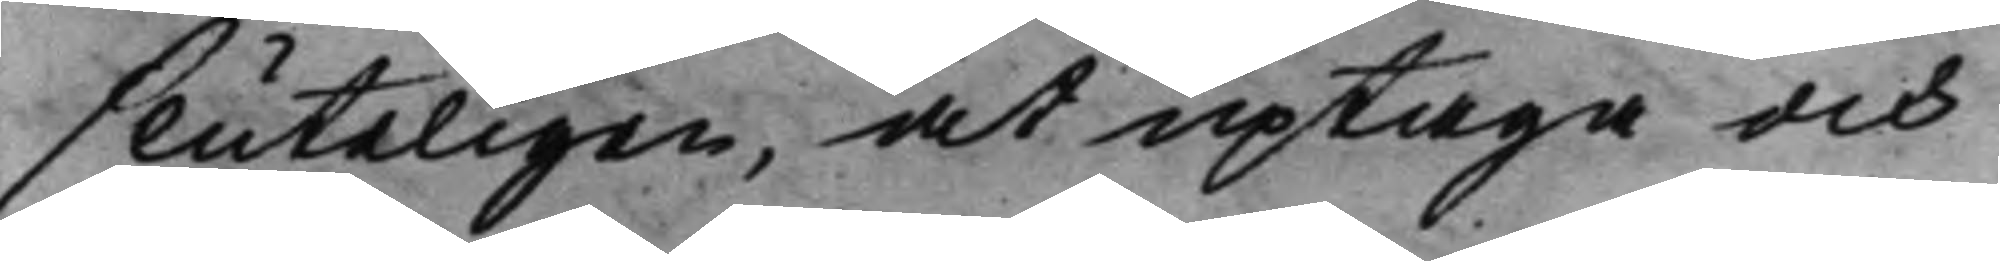sluteligen, at uptaga och
